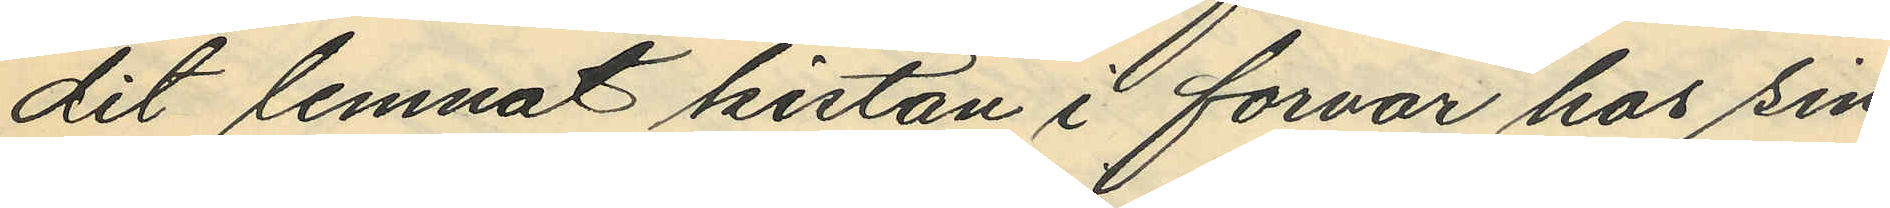dit lemnat kistan i förvar hos sin
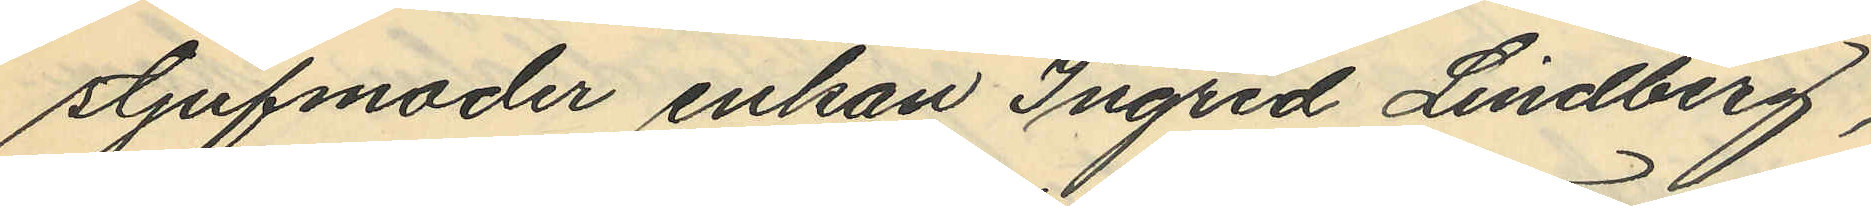stjufmoder enkan Ingrid Lindberg,
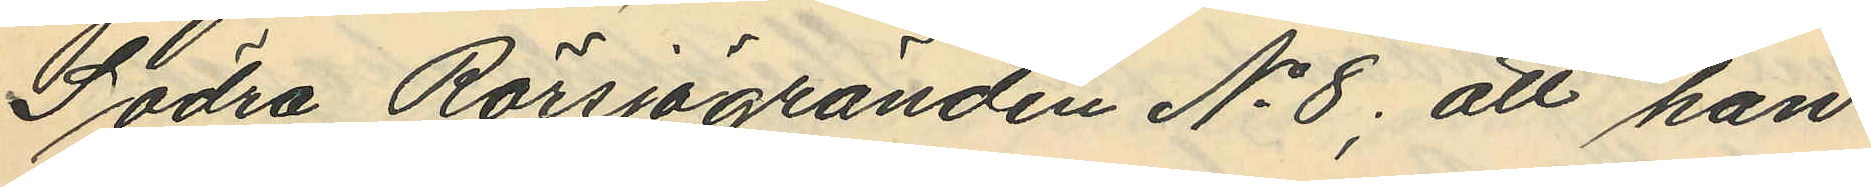Södra Rörsjögranden No 8; att han
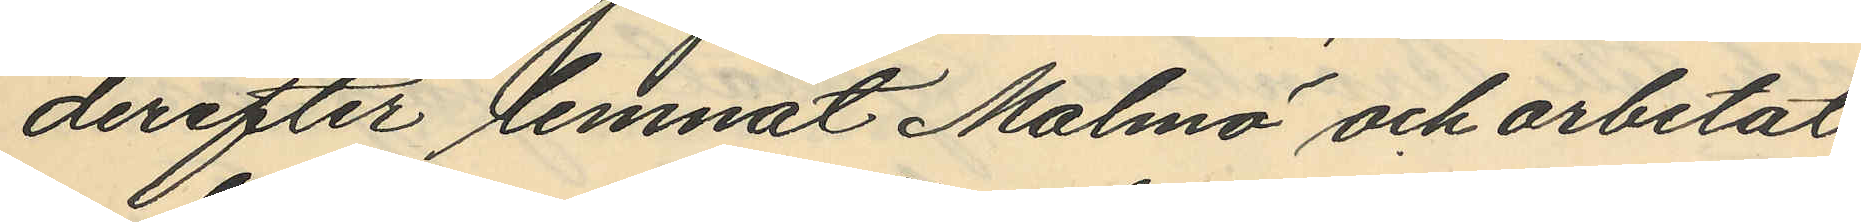derefter lemnat Malmö och arbetat
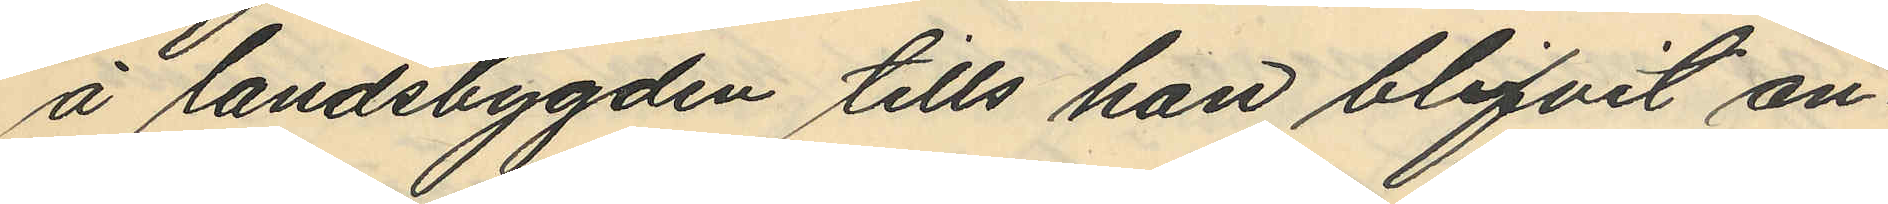å landsbygden tills han blifvit an¬
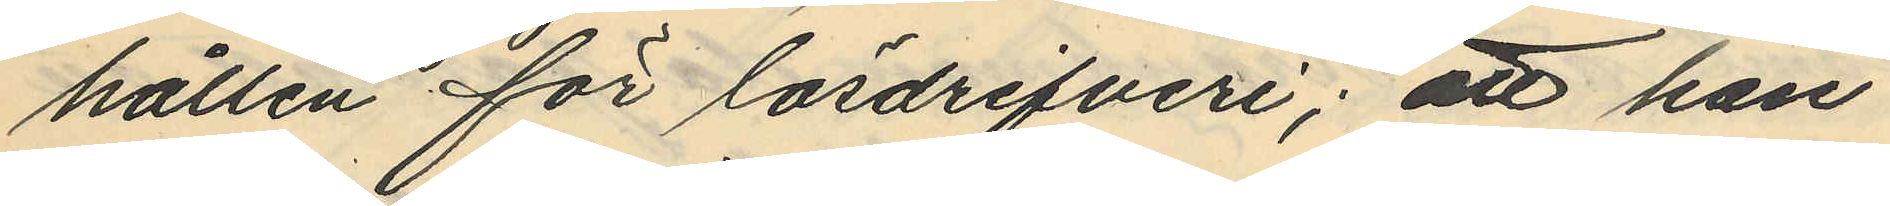hållen för lösdrifveri; att han
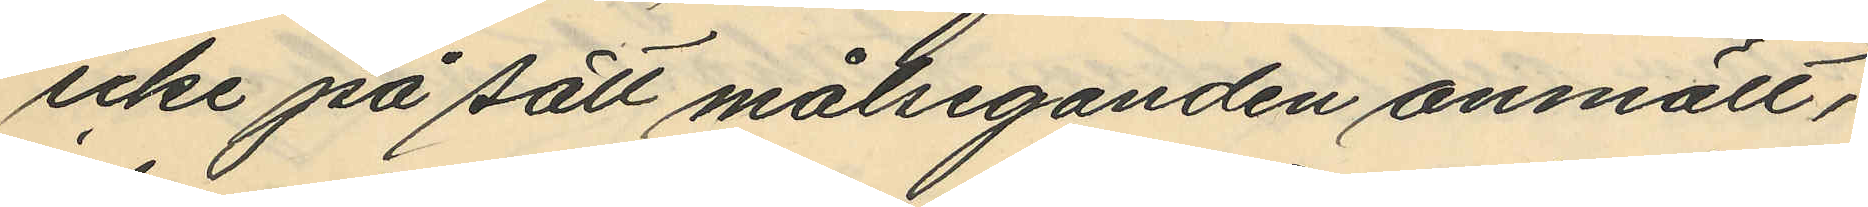icke på sätt målseganden anmält,
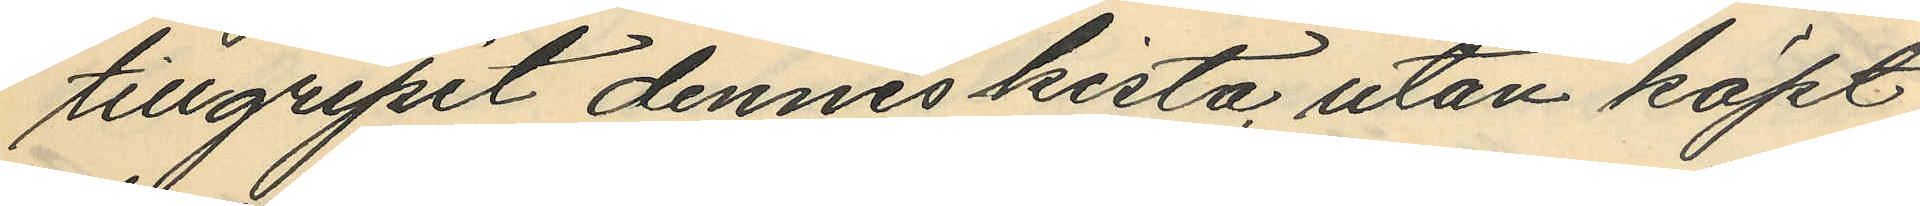tillgripit dennes kista, utan köpt
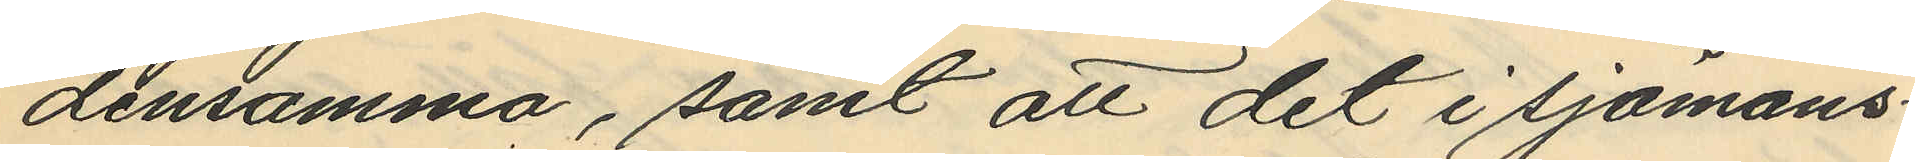densamma, samt att det i sjömans¬
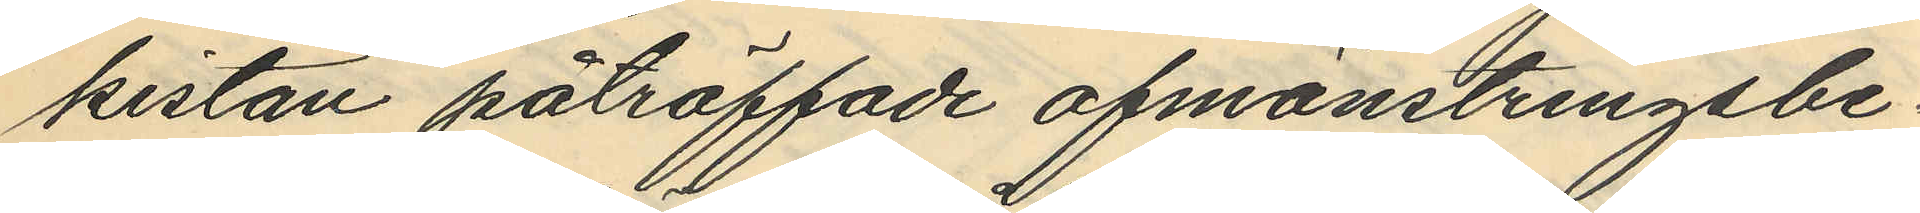kistan påträffade afmönstringsbe¬
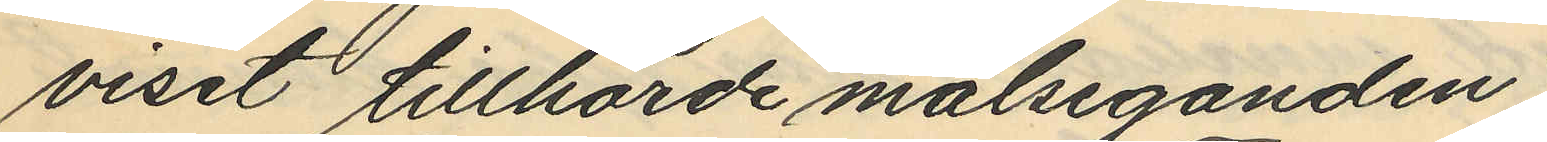viset tillhörde målseganden.
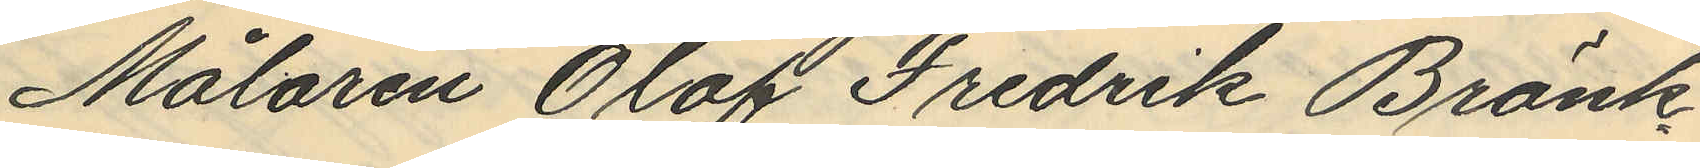Målaren Olof Fredrik Bränk¬
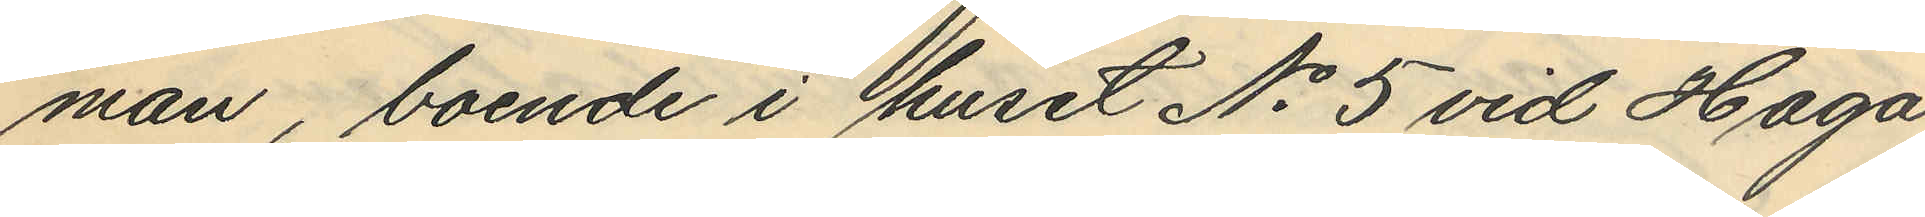man, boende i huset No 5 vid Haga
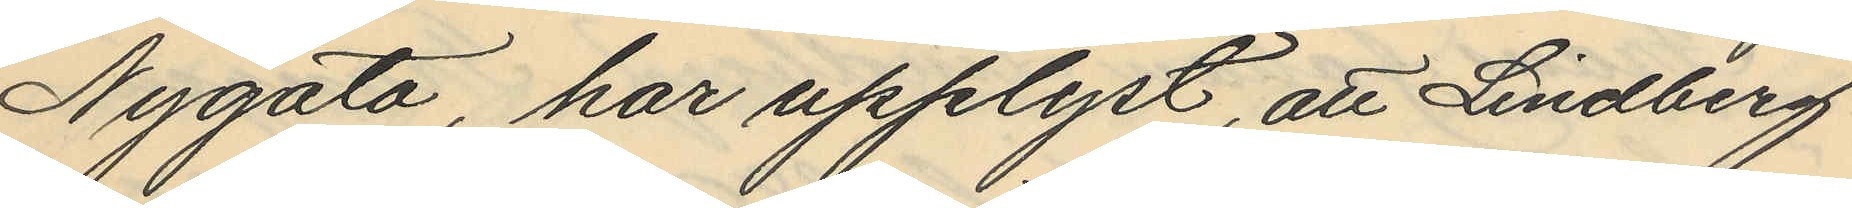Nygata, har upplyst, att Lindberg
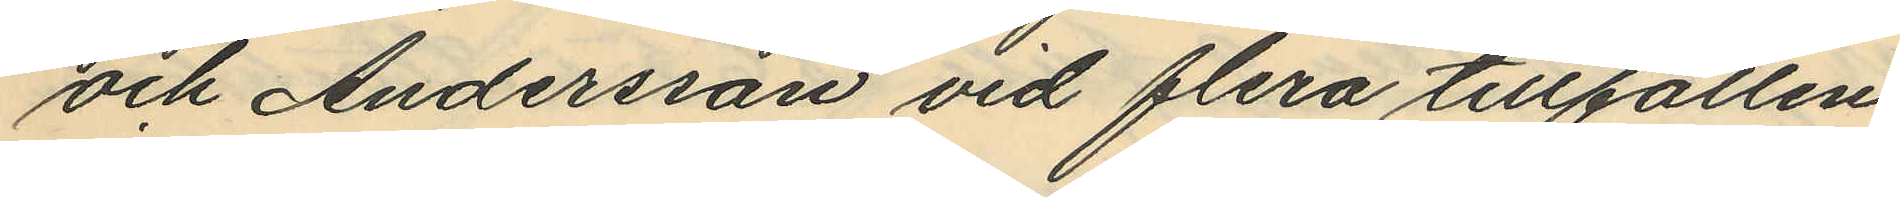och Andersson vid flera tillfällen
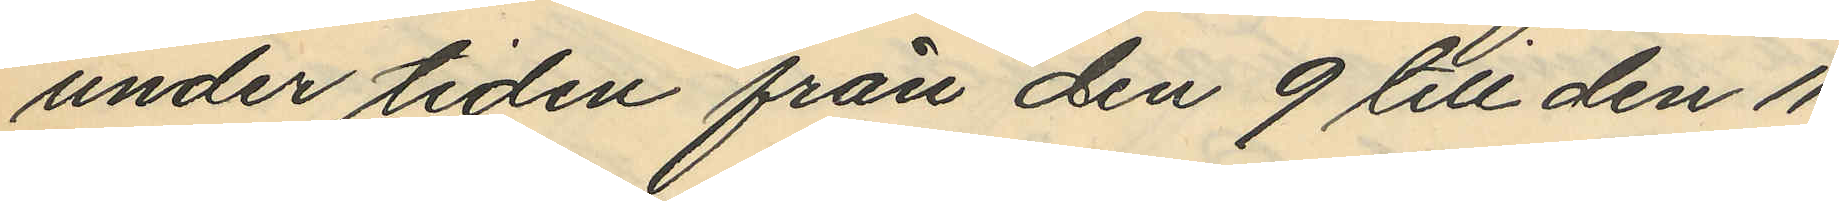under tiden från den 9 till den 11
